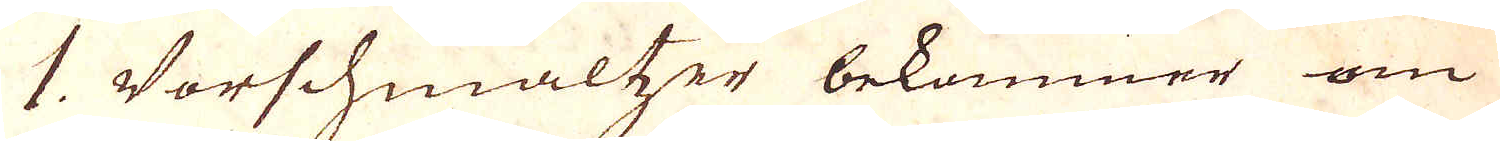1. Vorschmalter bekommer om
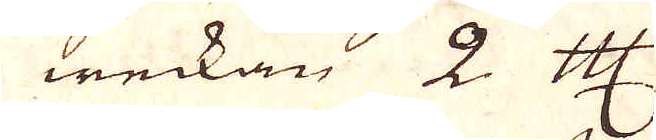weckan 2 Cologne Mark
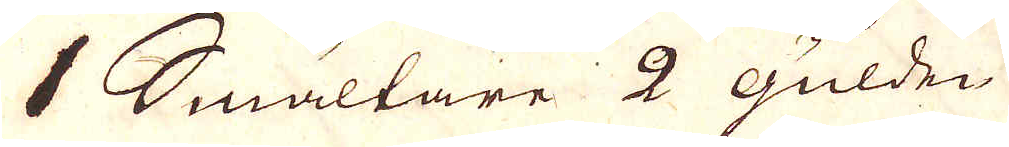1 Smältare 2 gulden
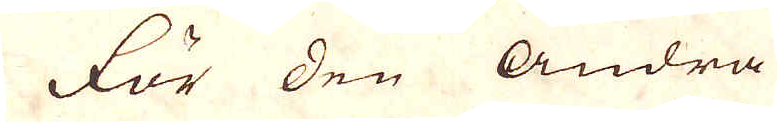för den andra
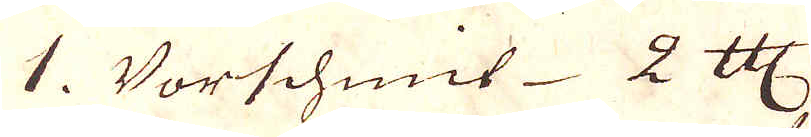1. Vorschmit 2 Cologne Mark
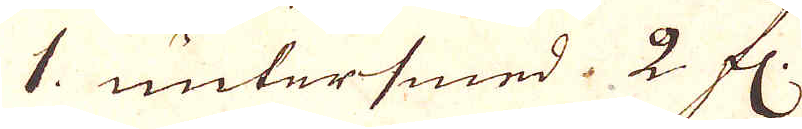1. untersmed. 2 fl:.
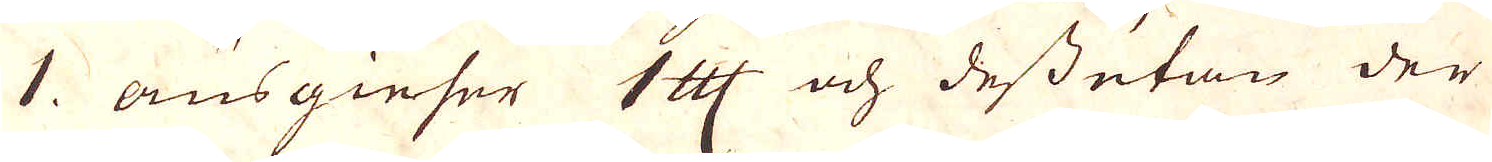1. ansgieser 1 Cologne Mark och dessutan der
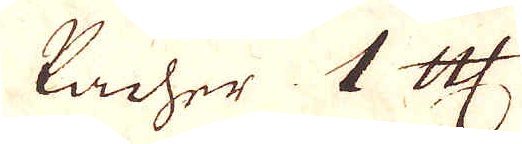Lacher 1 Cologne Mark
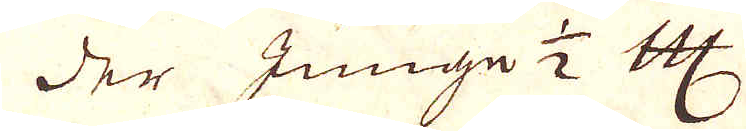der Junge 1/2 Cologne Mark
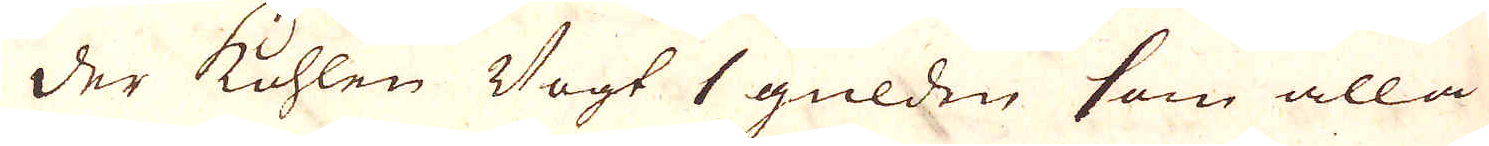der Kohlen Vogt 1 gulden som alla
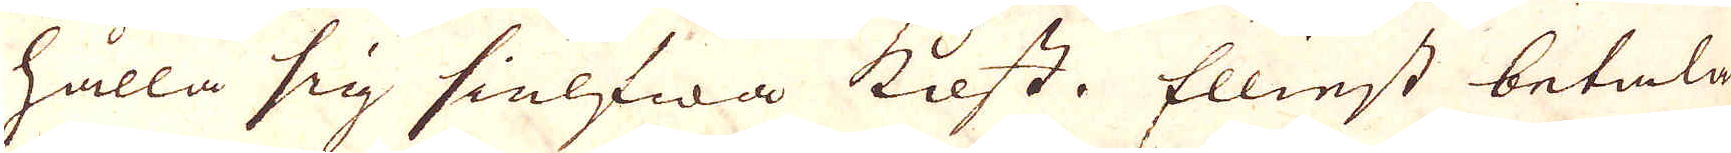hålla sig sielfwa kost. Ellinst betala
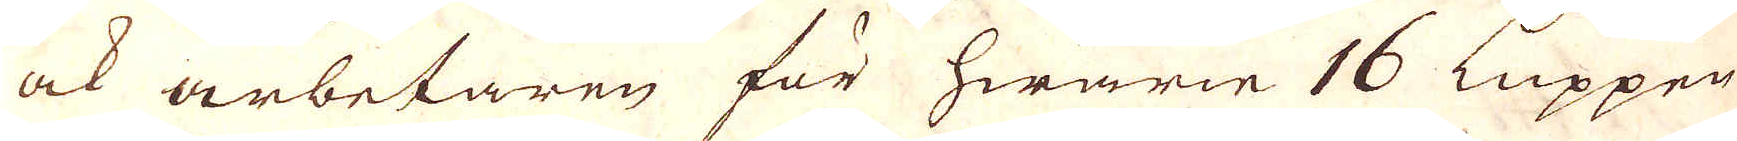ock arbetaren för hwarie 16 Luppen
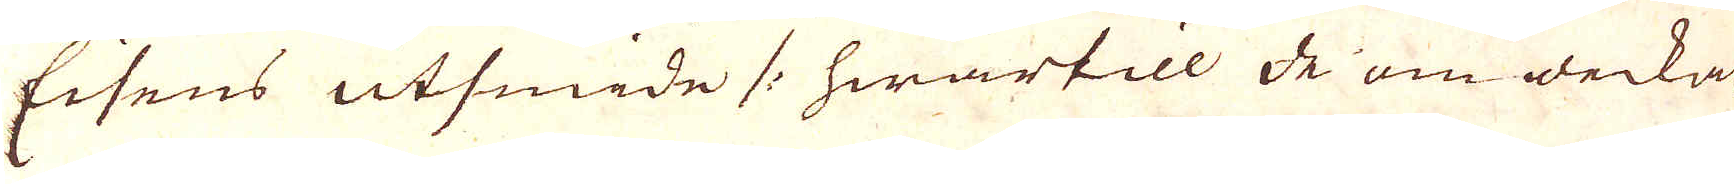Eisens utsmide /: hwartill de om weckan
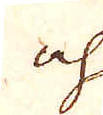och
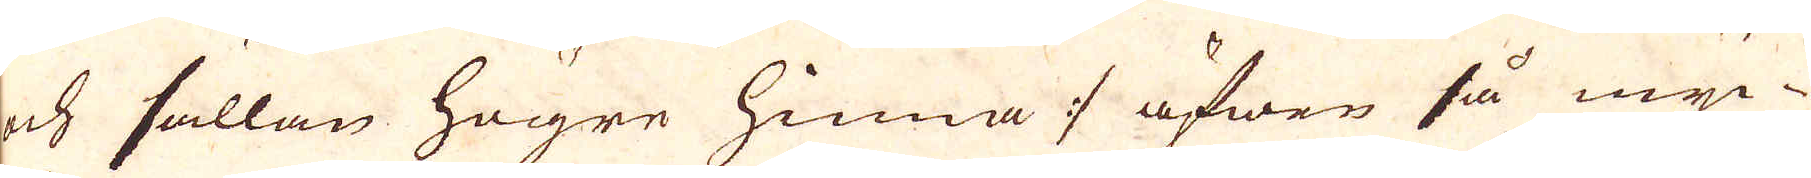och sällan högre hinna :/ äfwer så myc-
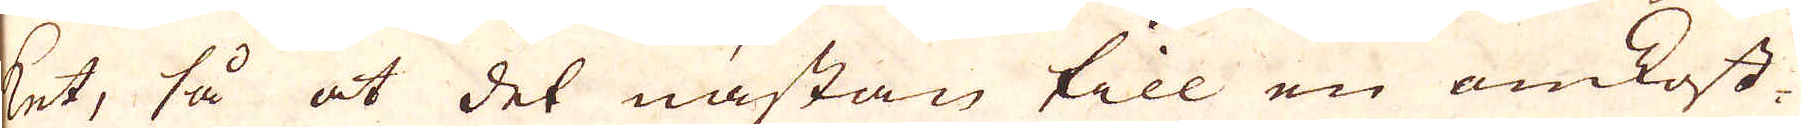ket, så at det nästan till en omkost-
